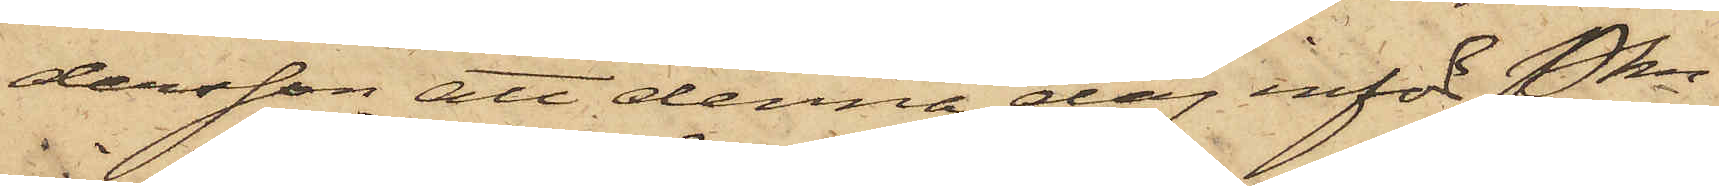dersson att denna dag inför Pkn
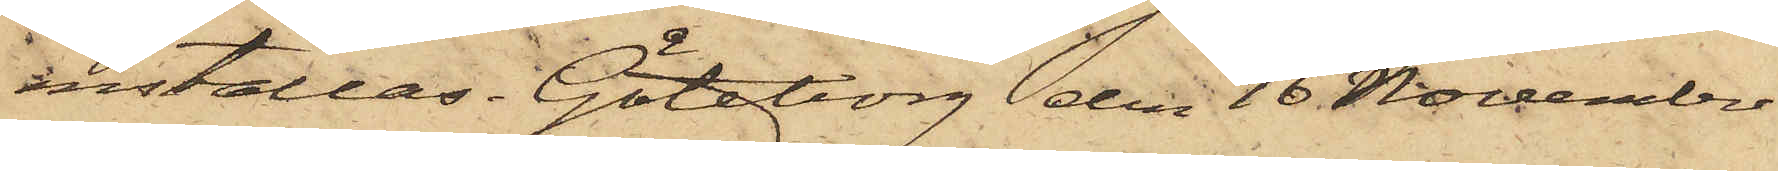inställas. Göteborg den 16 November
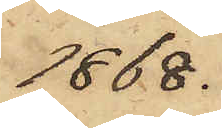1868.
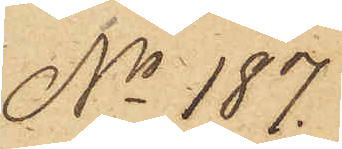No 187.
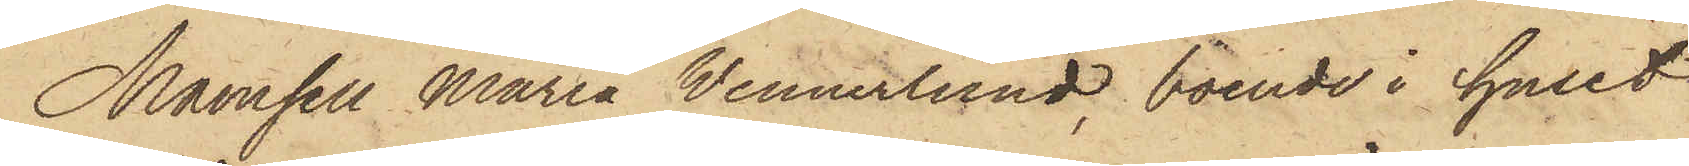Mamsell Maria Wennerlund, boende i huset
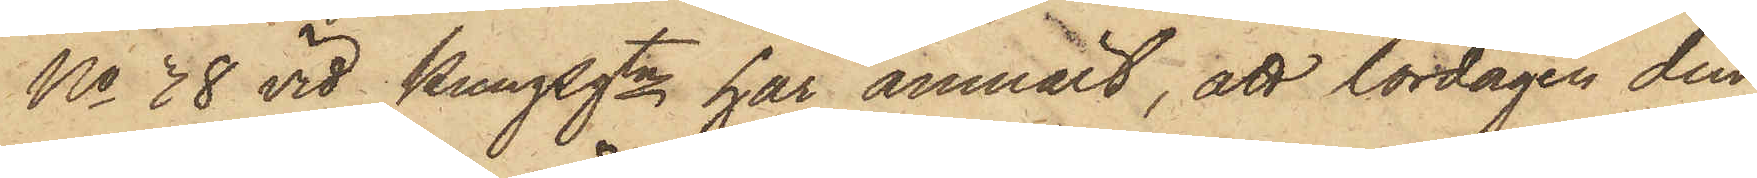No 38 vid Kungsgtn har anmält, att lördagen den
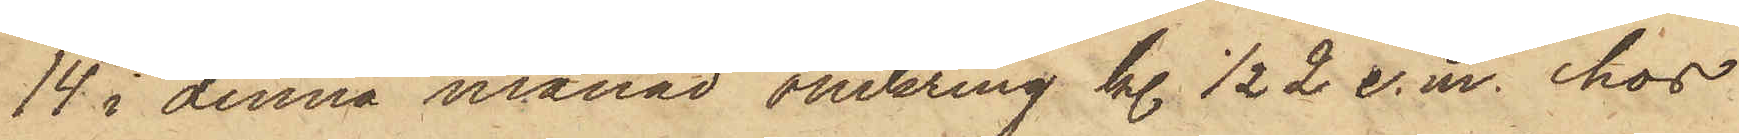14 i denna månad omkring kl. 1/2 2 e. m. hos
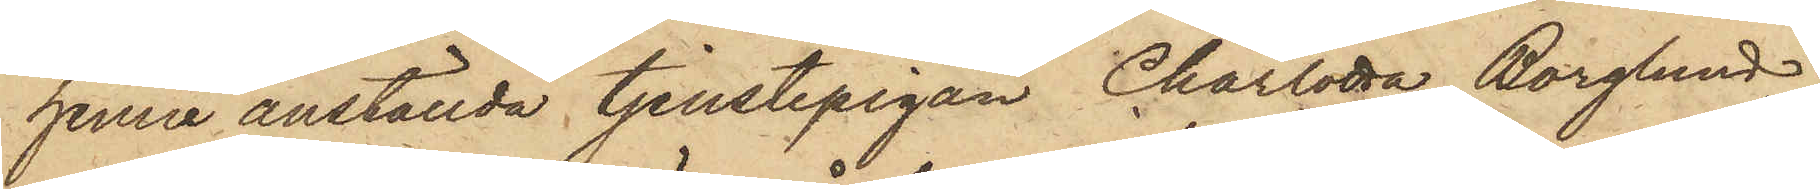henne anställda tjenstepigan Charlotta Borglund,
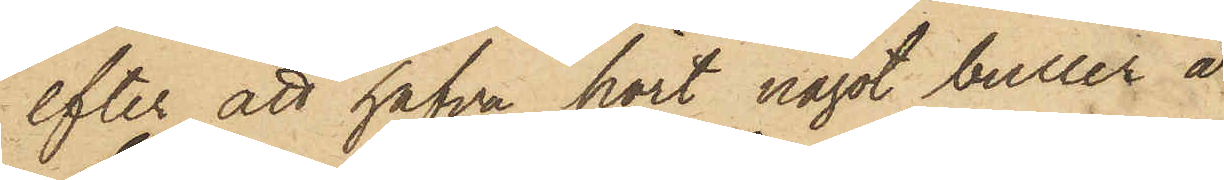efter att hafva hört något buller å
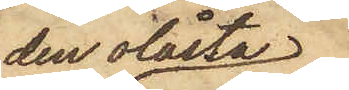den olåsta
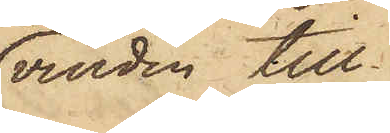vinden till
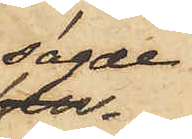sagde
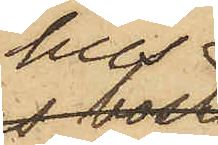hus,
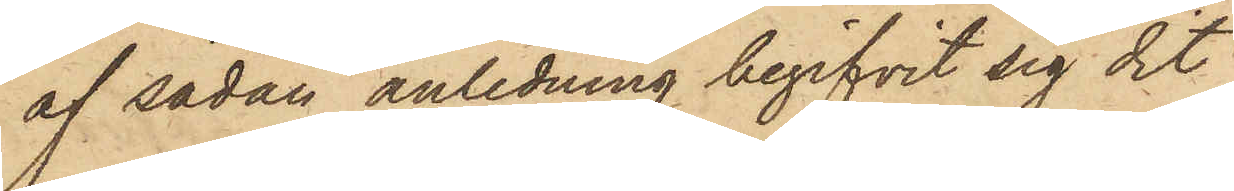af sådan anledning begifvit sig dit
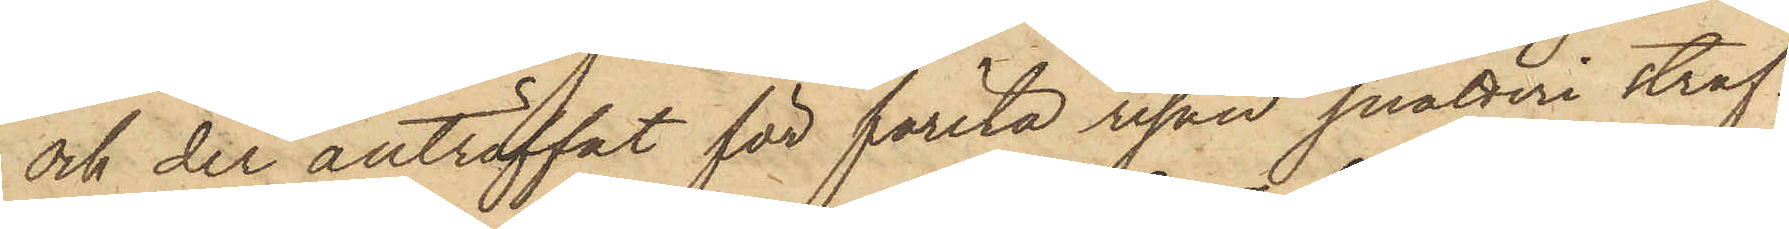och der anträffat för första resan snatteri straf¬
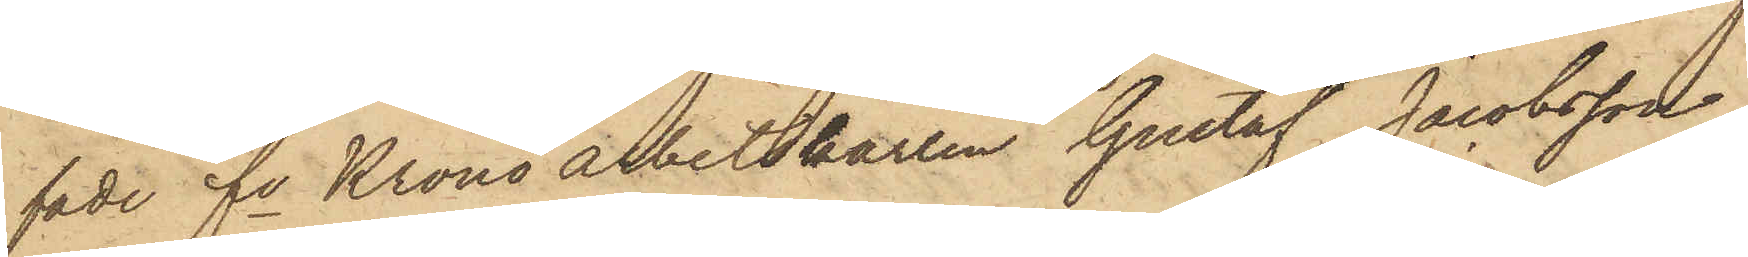fade fe Krono arbetskarlen Gustaf Jacobsson,
